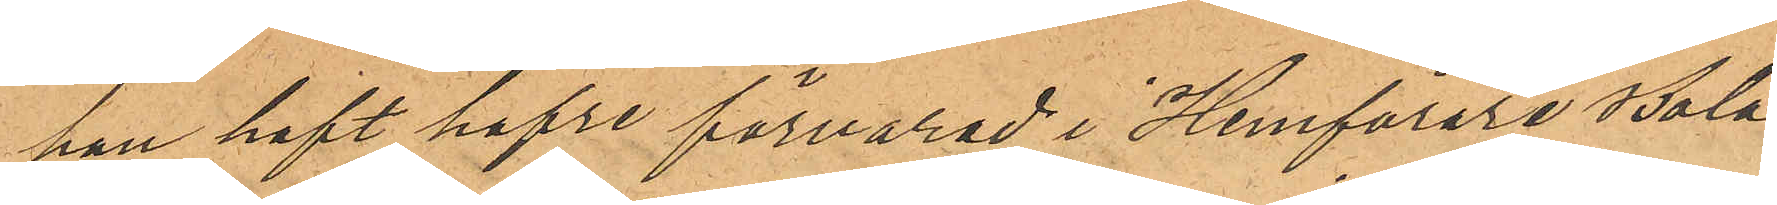han haft hafre förvarad i Hemförare Bola¬
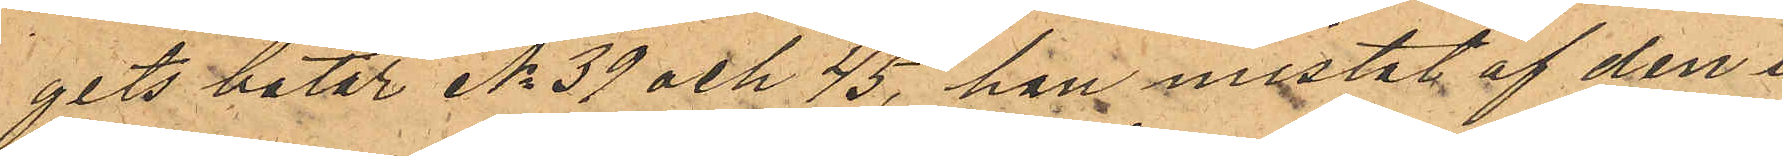gits båtar No 39 och 45, han mistat af den i
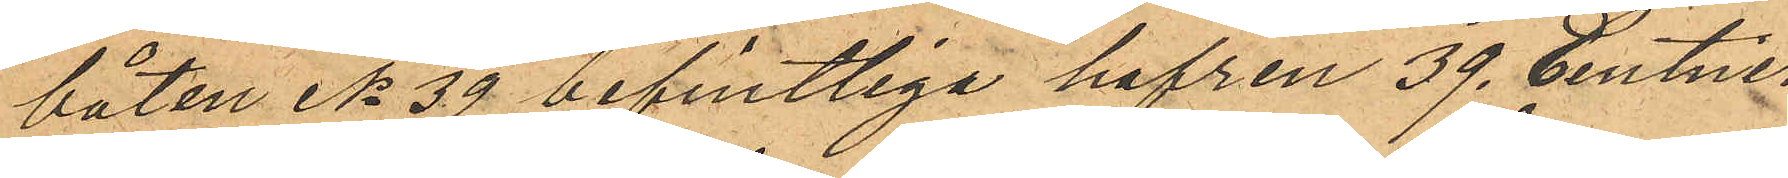båten No 39 befintliga hafren 39. Centner
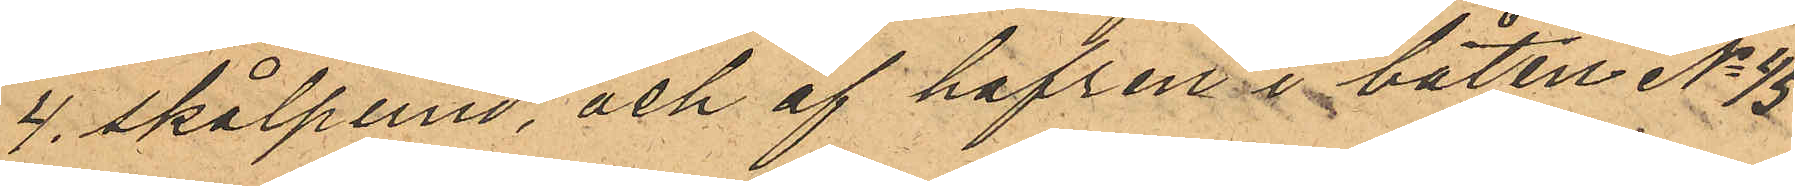4. skålpund, och af hafren i båten No 45
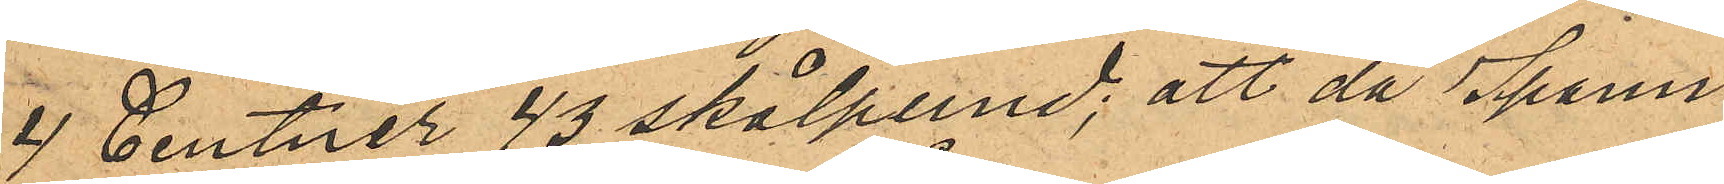4 Centner 43 skålpund; att då Spann¬
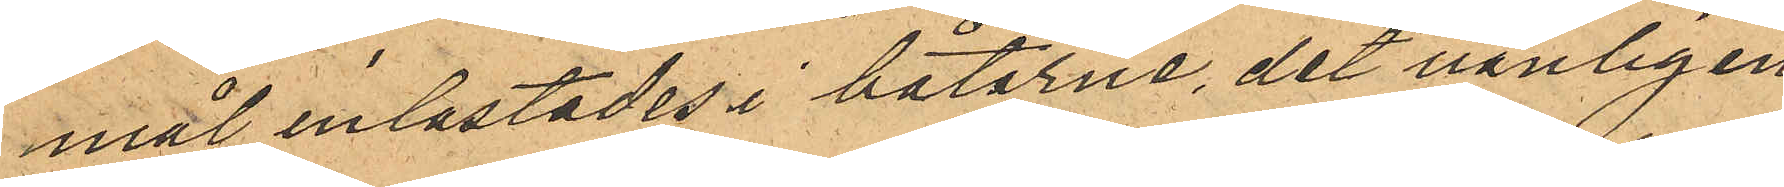mål inlastades i båtarne, det vanligen
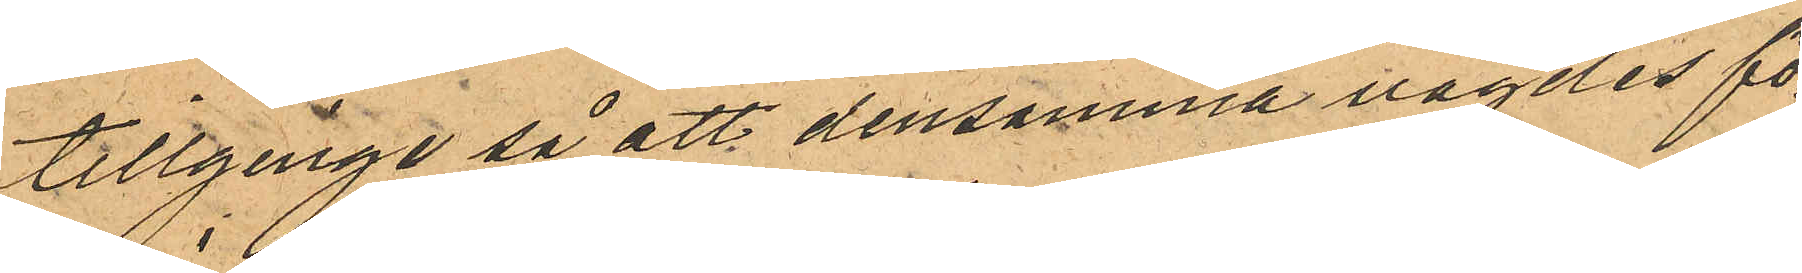tillginge så att densamma vägdes fö¬
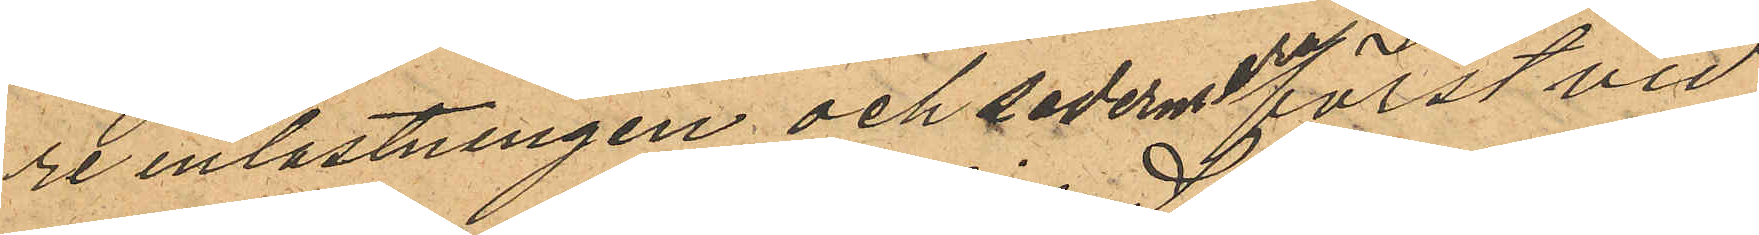re inlastningen och sedermera först vid
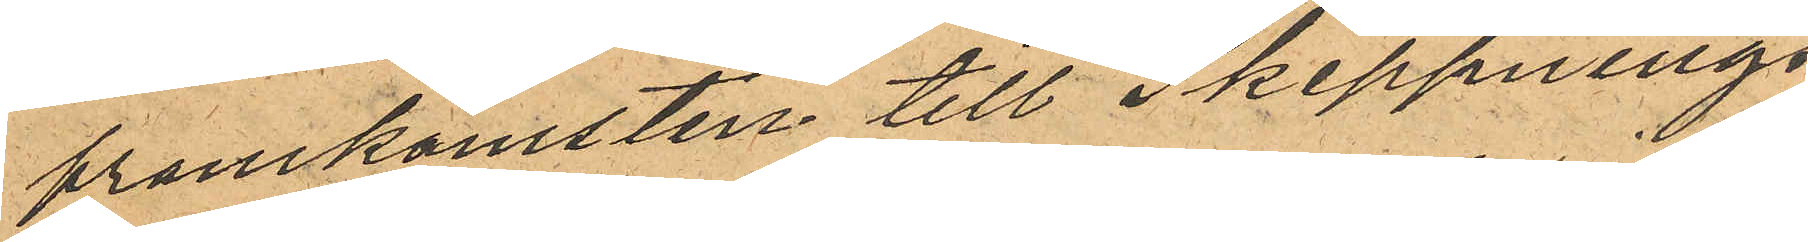framkomsten till Skeppnings¬
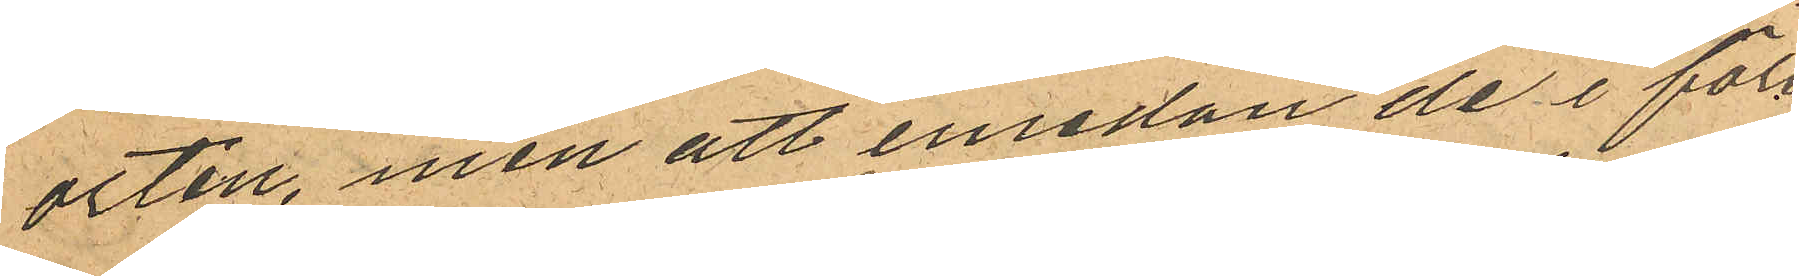orten, men att emedan de i före¬
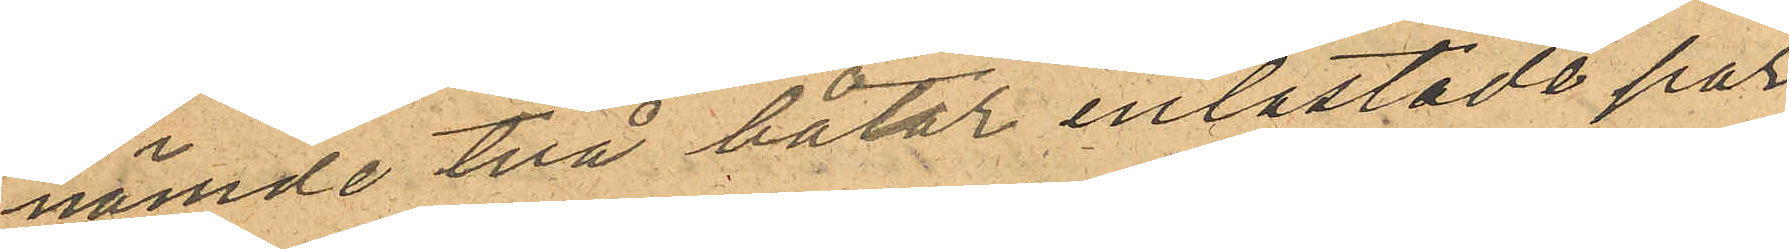nämde två båtar inlastade par¬
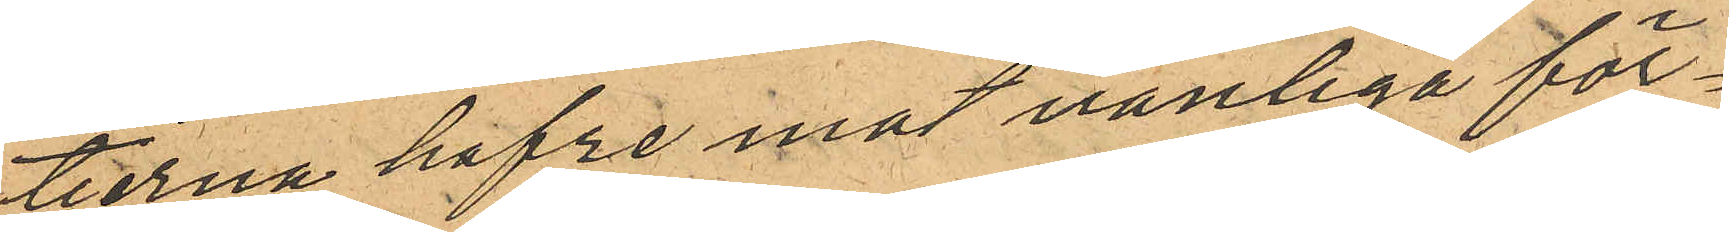tierna hafre mot vanliga för¬
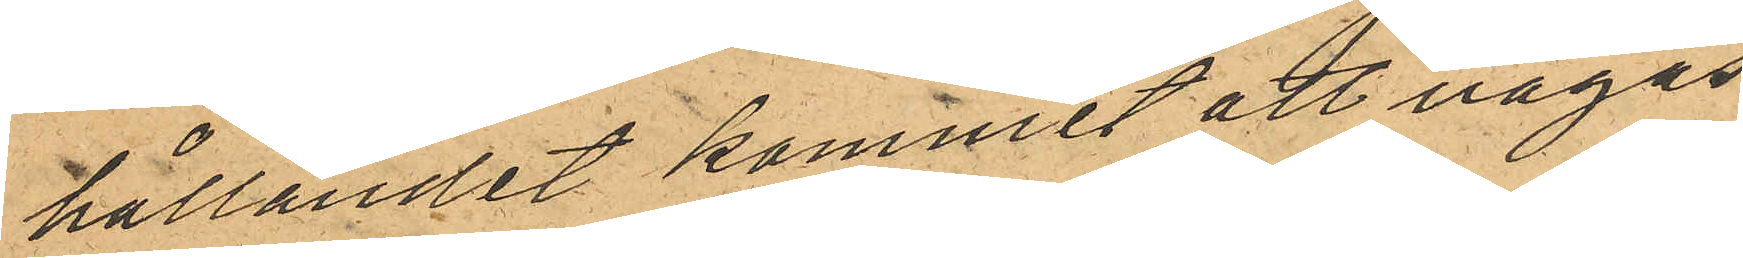hållandet kommit att vägas
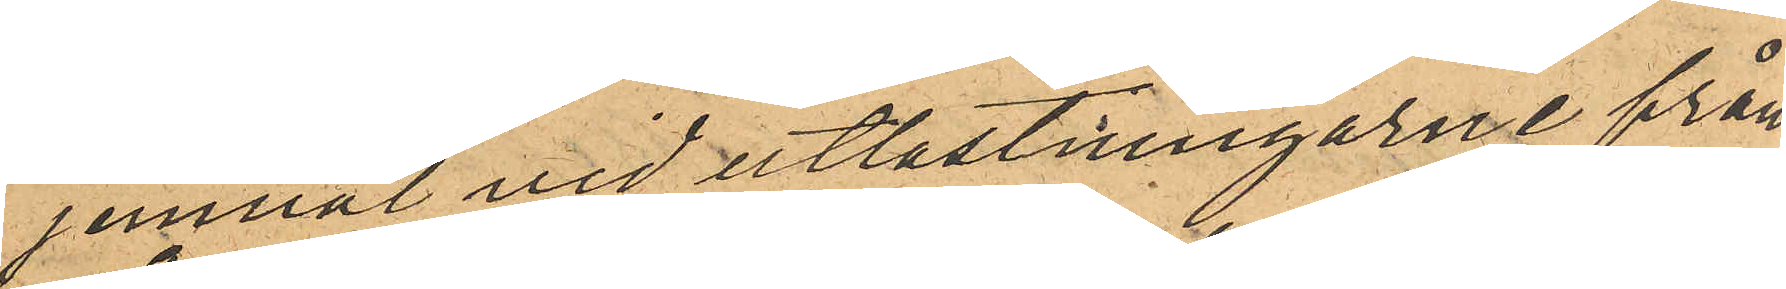jemväl vid utlastningarne från
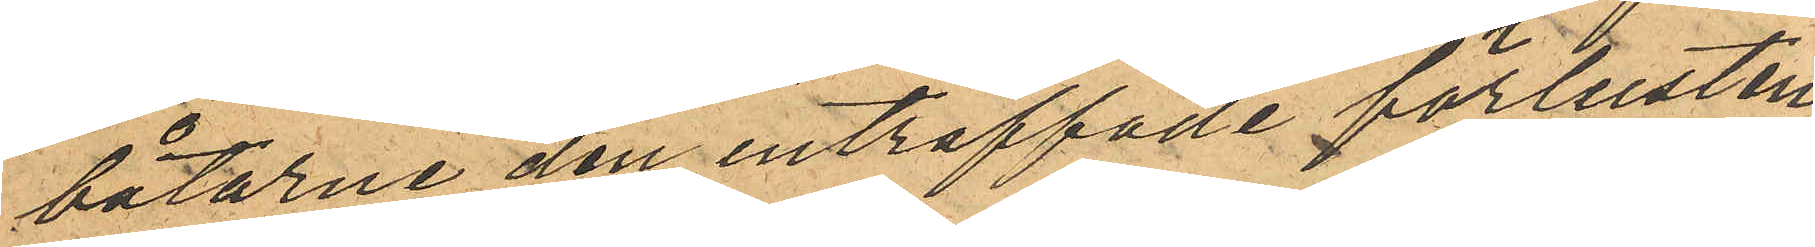båtarne den inträffade förlusten
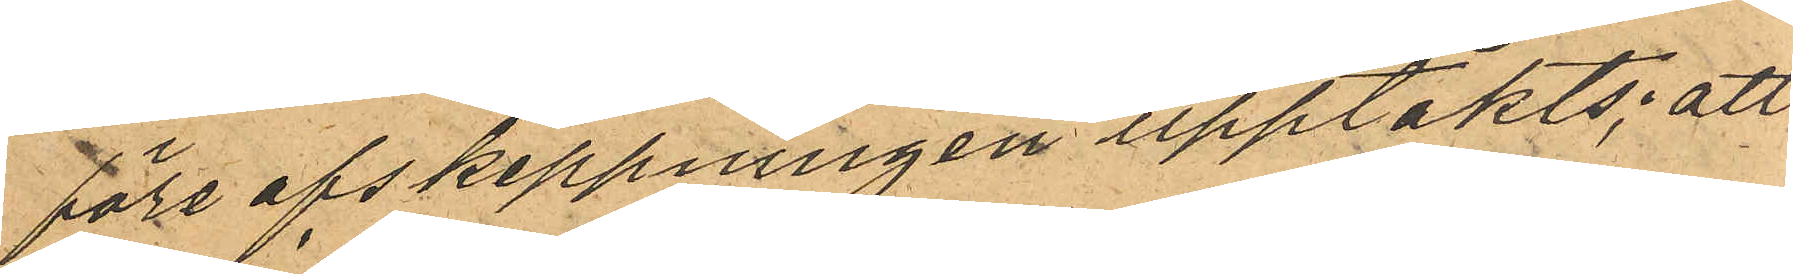före afskeppningen upptäkts; att
